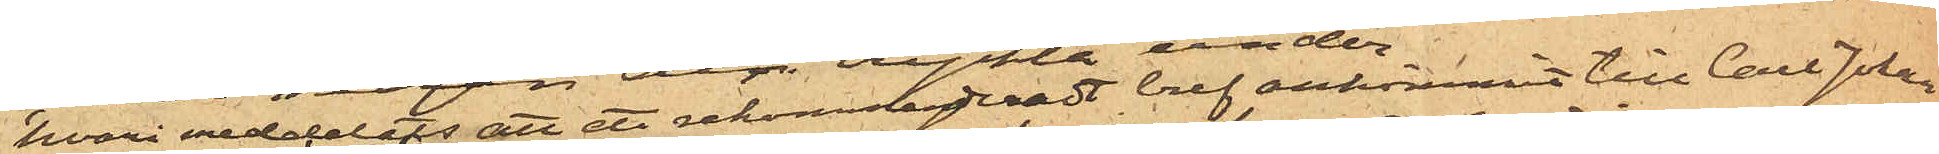hvari meddelats att ett rekommederadt bref ankommit till Carl Johan
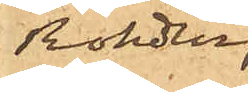Rohdin,
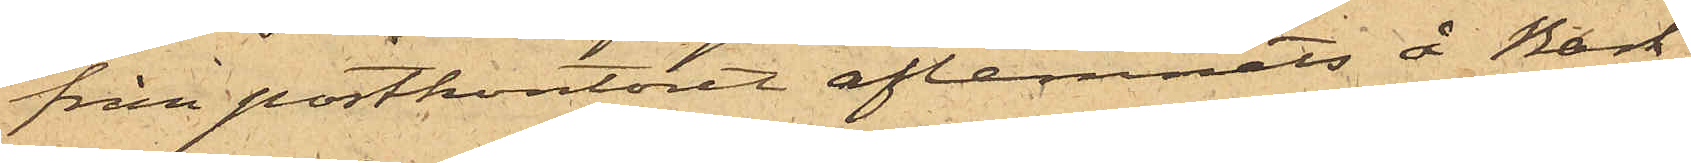från postkontoret aflemnats å Bark
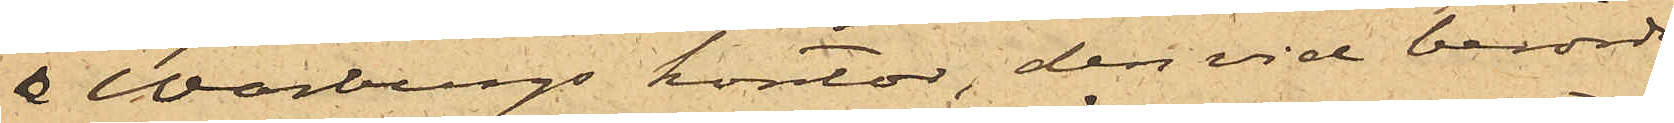& Warburgs kontor, den vid berörde
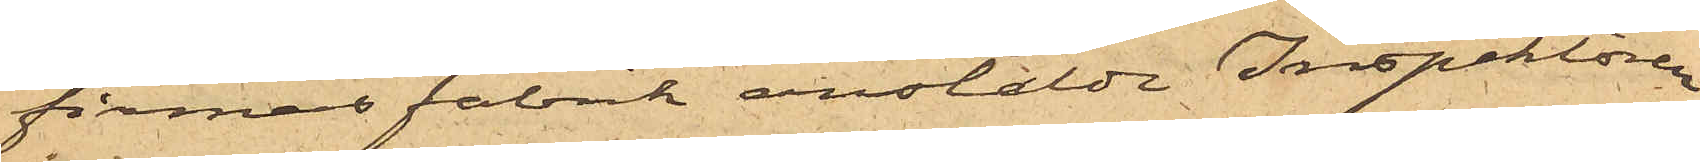firmas fabrik anstälde Inspektoren
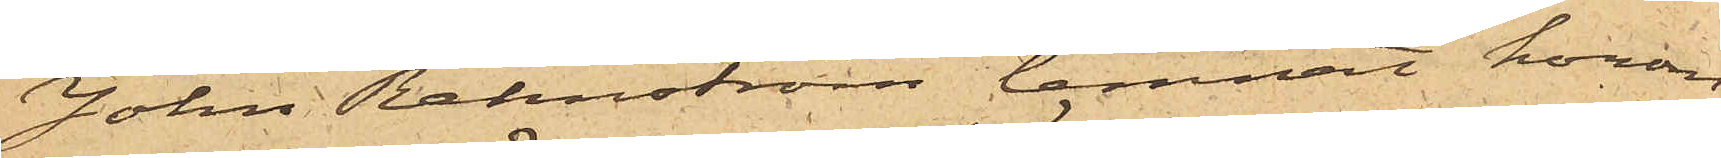John Rehnström lemnat honom
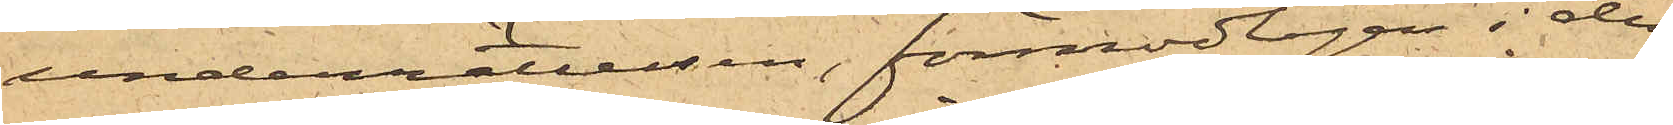underrättelsen, förmodligen i den
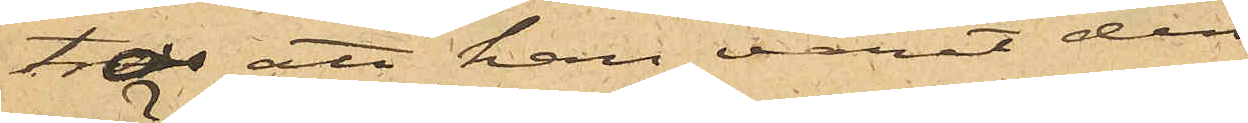tro att han varit den
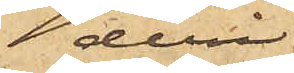deri
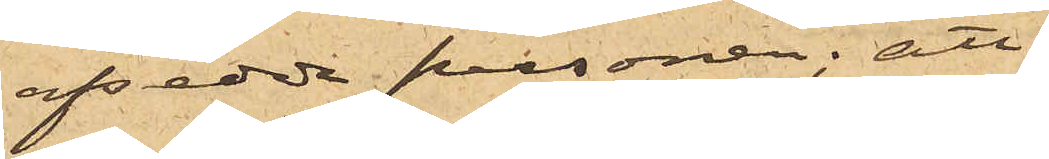afsedda personen; att
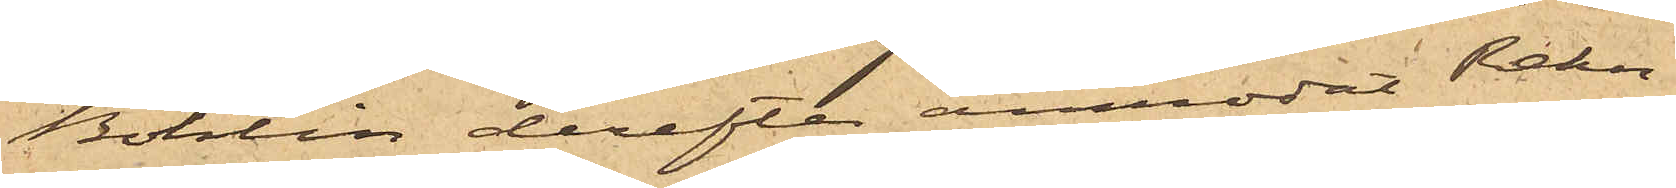Bohlin derefter anmodat Rehn¬
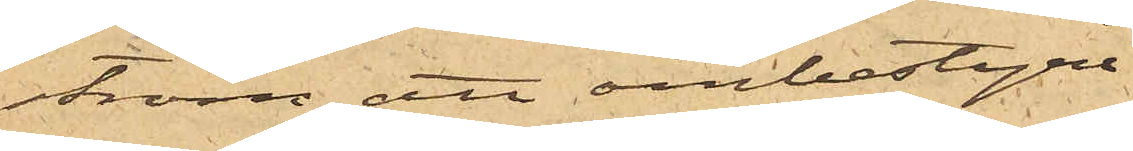ström att ombestyra
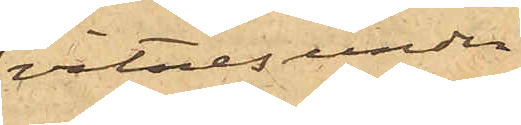vitnesunder¬
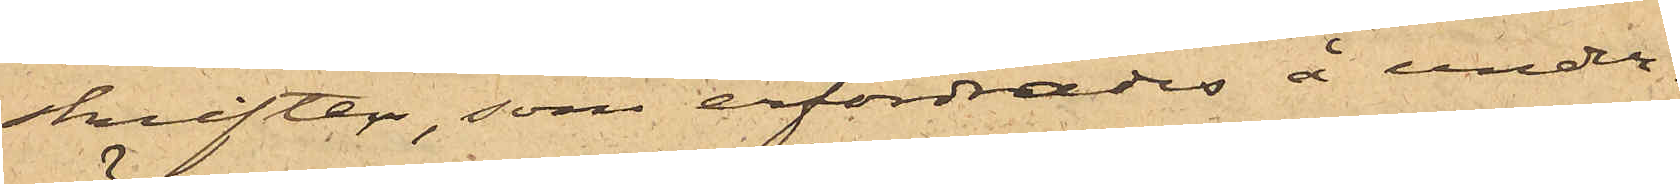skrifter, som erfordrades å under¬
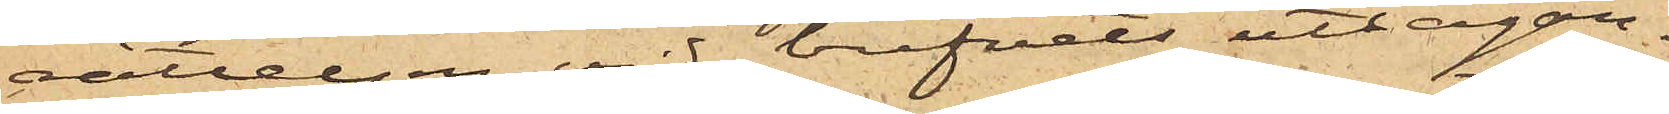rättelsen vid brefvets uttagan¬
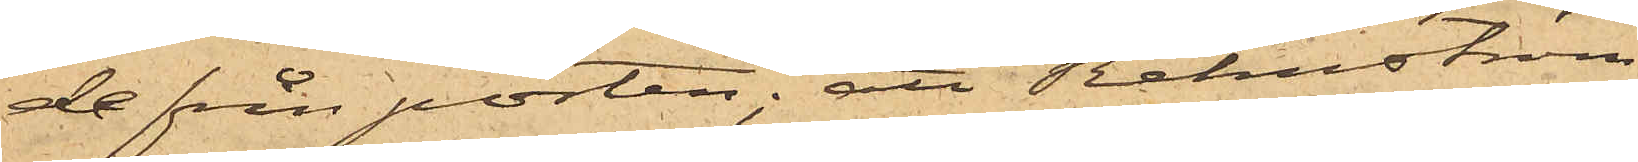de från posten; att Rehnström
